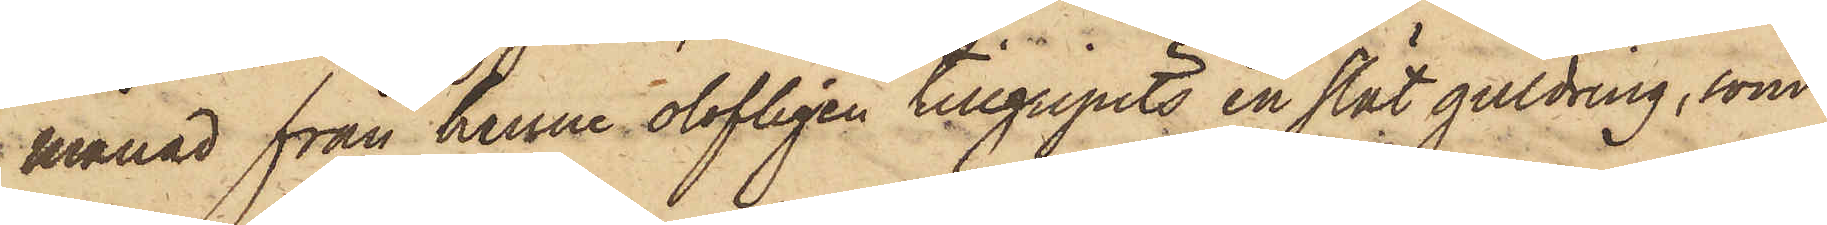månad från henne olofligen tillgripits en slät guldring, som
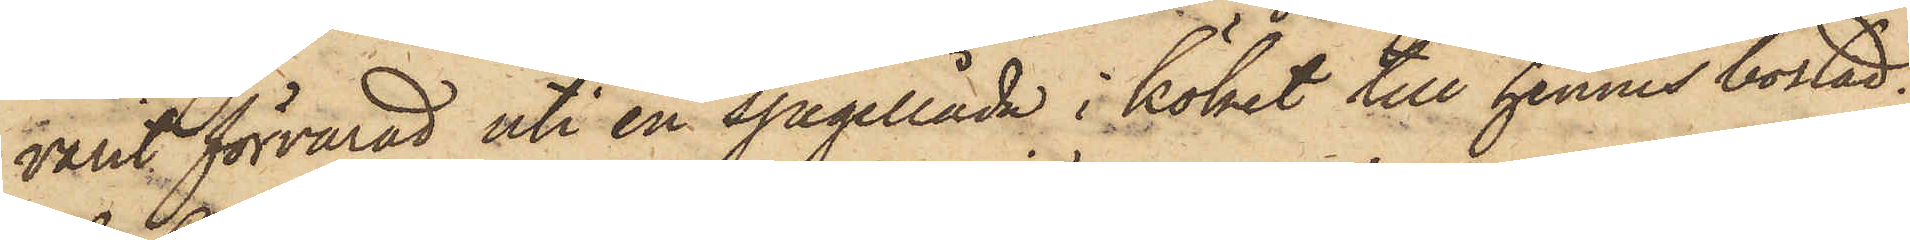varit förvarad uti en spegellåda i köket till hennes bostad.
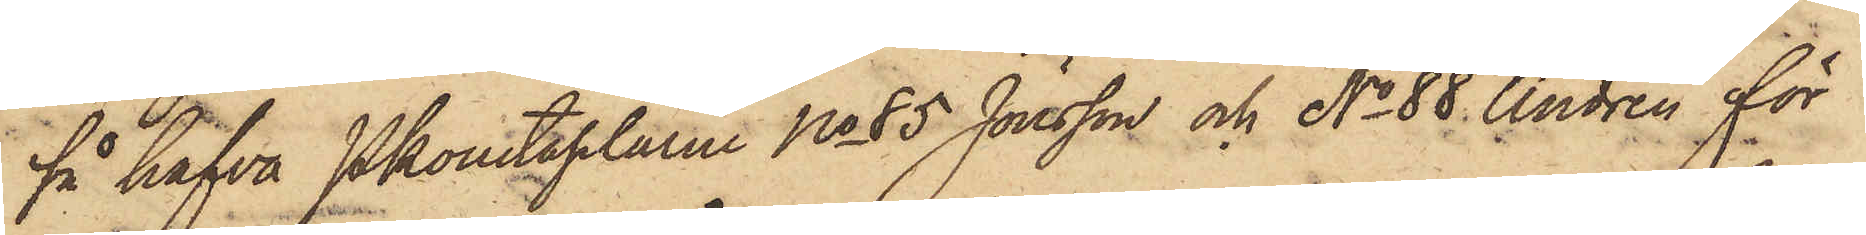så hafva Pkonstaplarne No 85 Jönsson och No 88 Andrén för
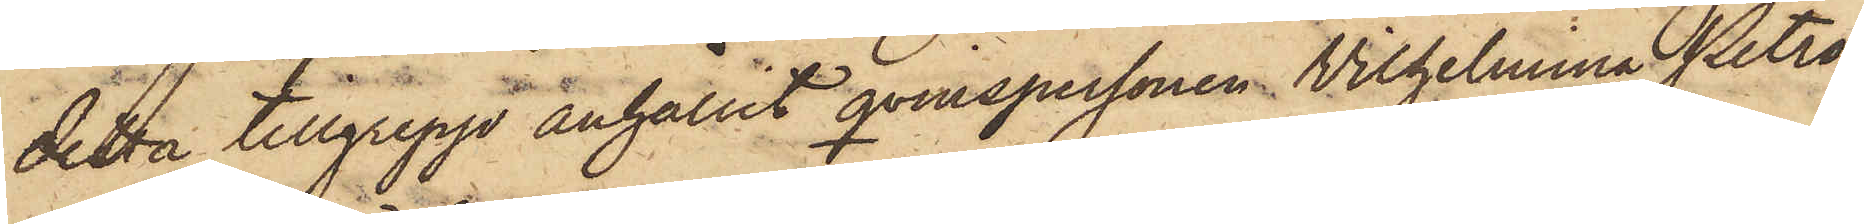detta tillgrepp anhållit qvinspersonen Vilhelmina Petro¬
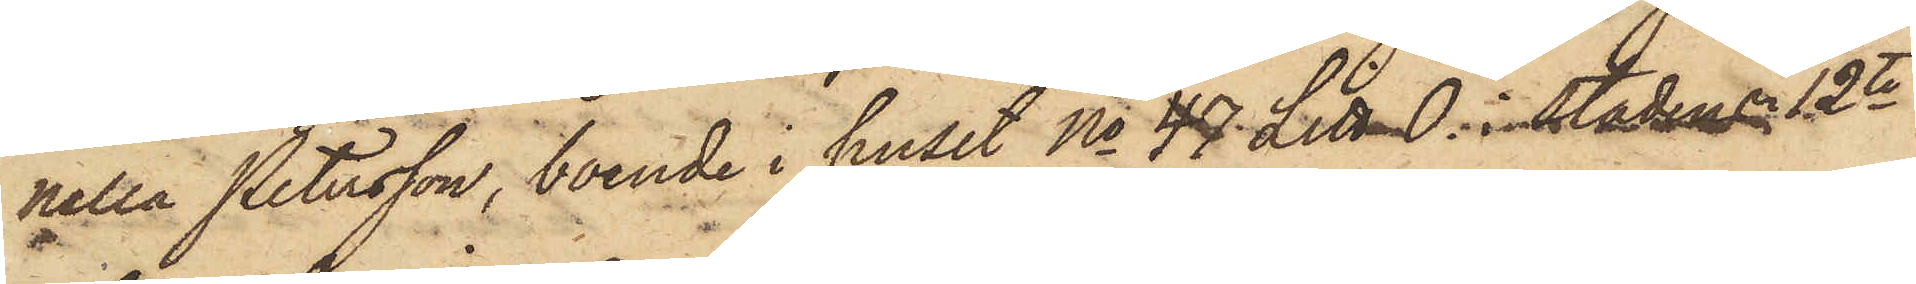nella Petersson, boende i huset No 47 Litt O. i staden 12te
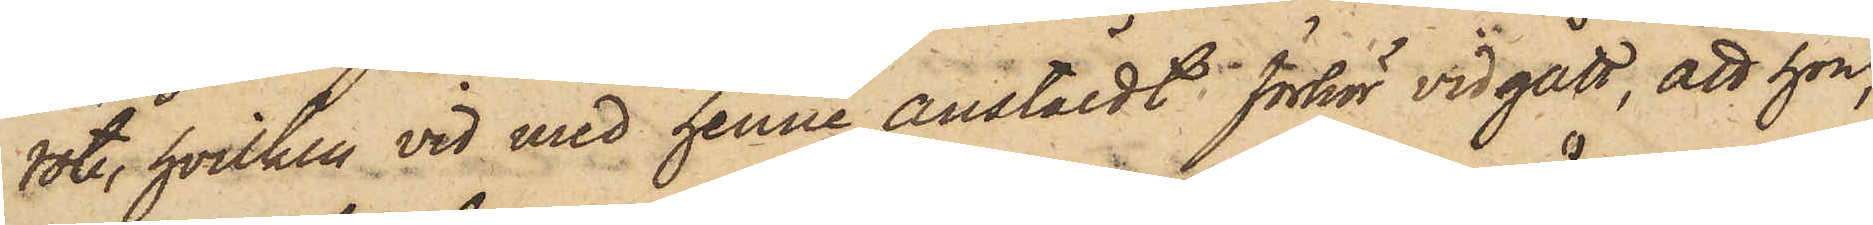rote, hvilken vid med henne anstäldt förhör vidgått, att hon,
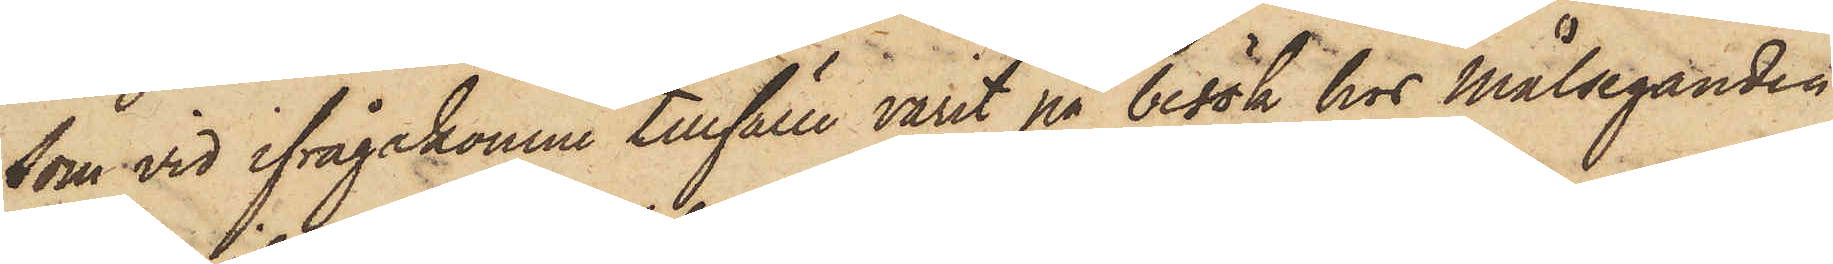som vid ifrågakomne tillfälle varit på besök hos Målseganden,
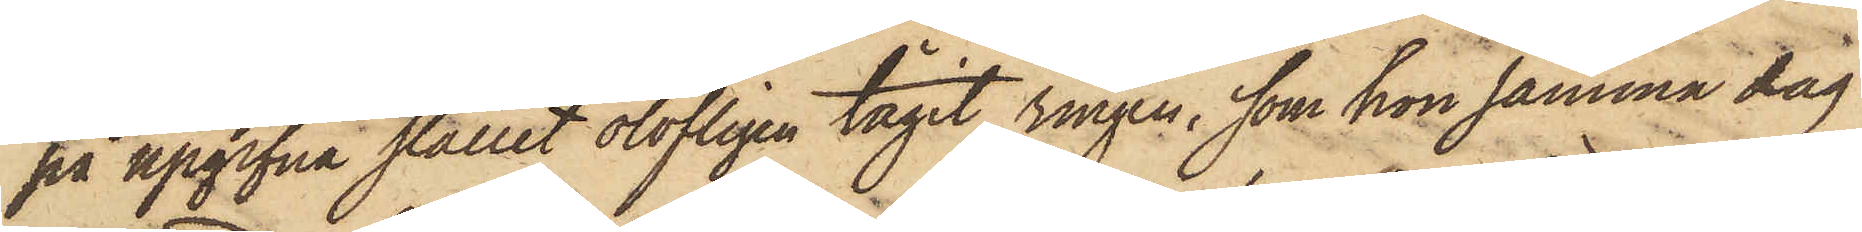på upgifna stället olofligen tagit ringen, som hon samma dag
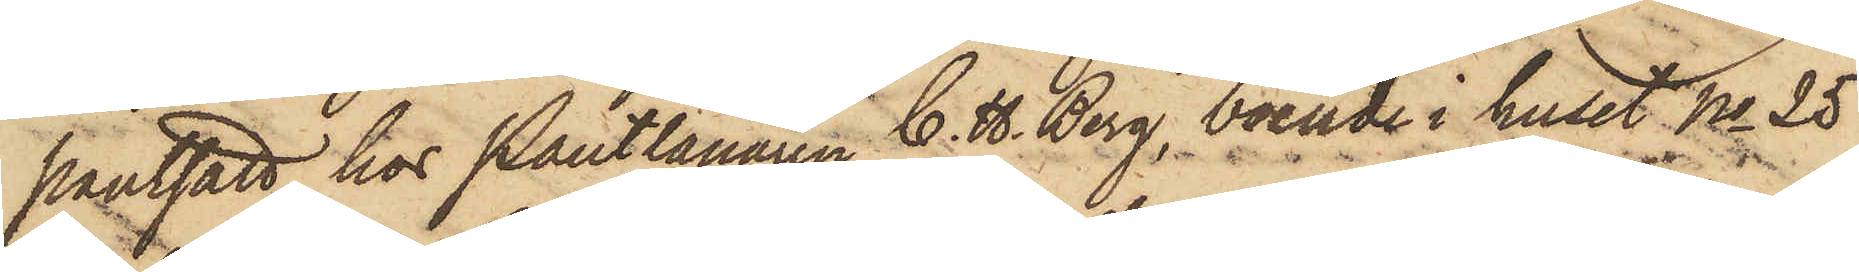pantsatt hos Pantlånaren C. H. Berg, boende i huset No 25
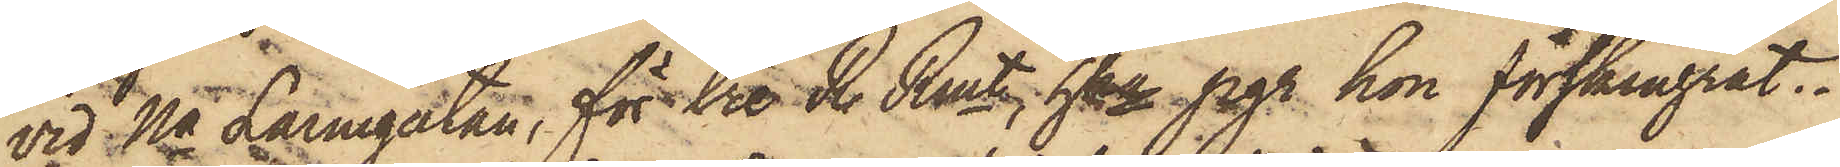vid Na Larmgatan, för tre R. Rmt, hka pgr hon förskingrat.
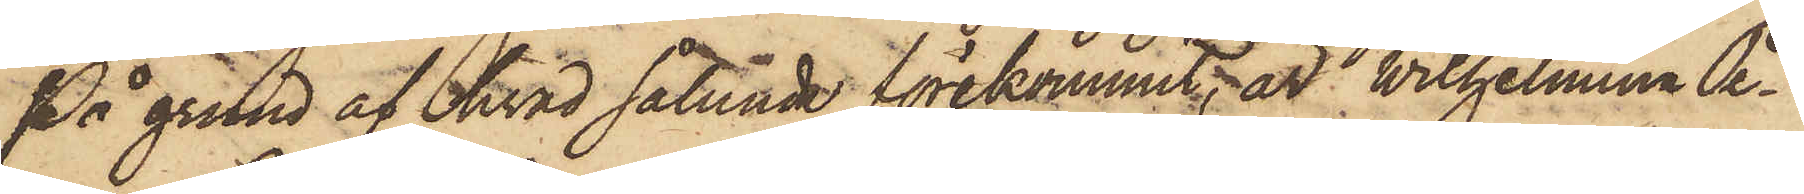På grund af hvad sålunda förekommit, är Vilhelmina Pe¬
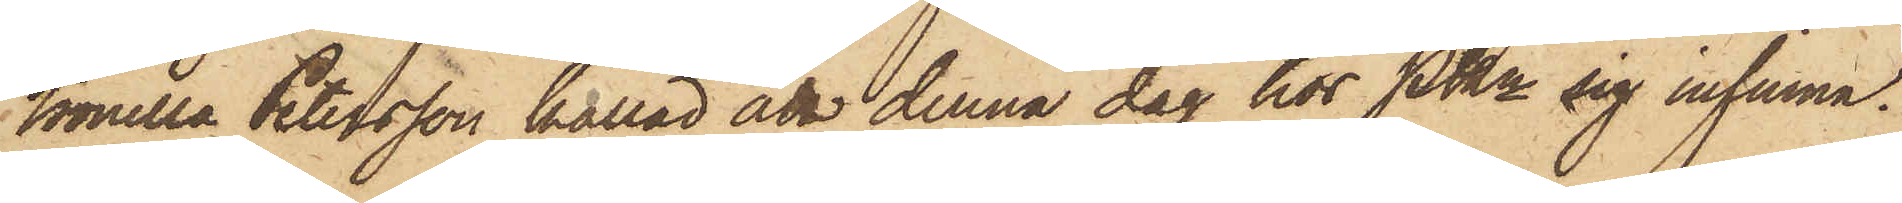tronella Petersson kallad att denna dag hos PKn sig infinna.
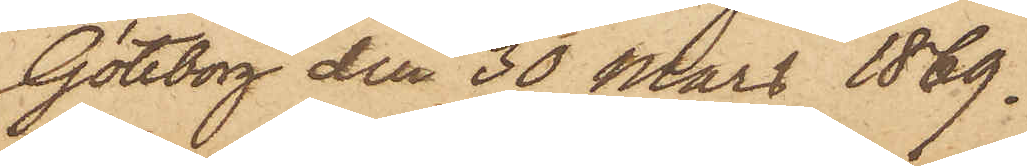Göteborg den 30 Mars 1869.
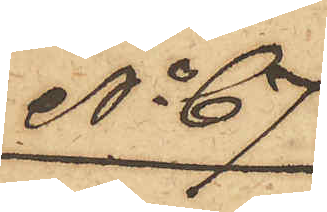No 67.
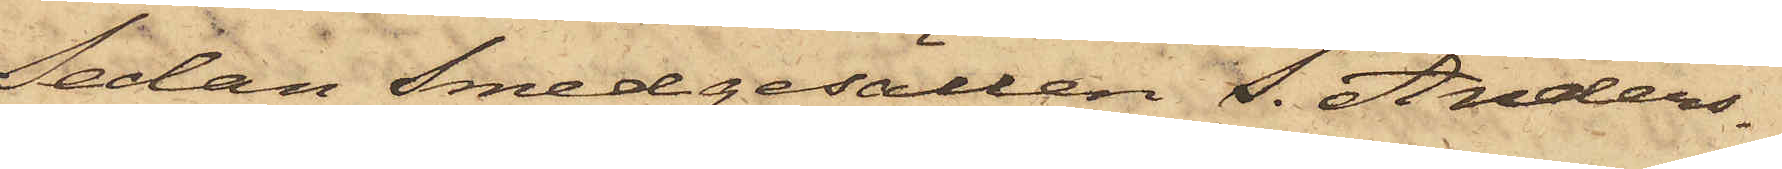Sedan Smedgesällen S. Anders¬
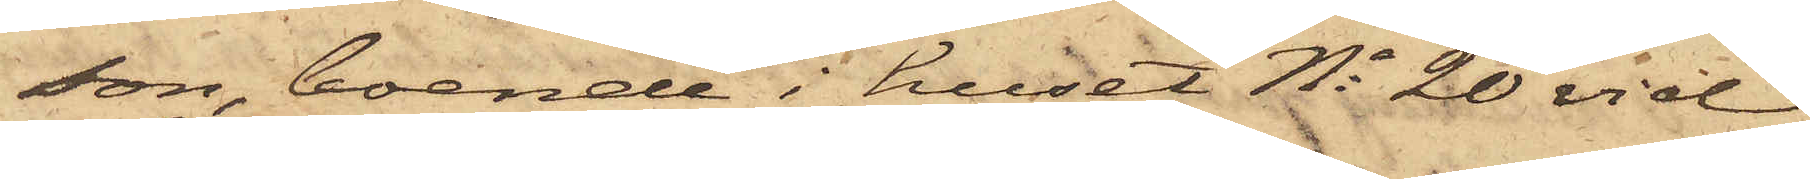son, boende i huset No 20 vid
